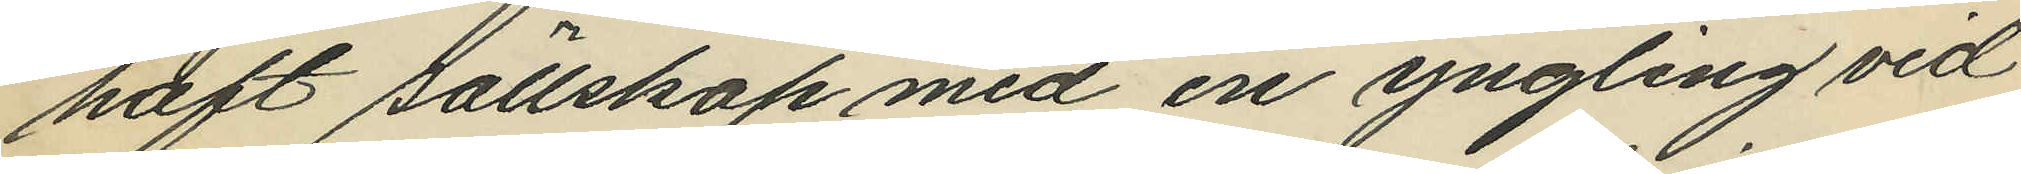haft sällskap med en yngling vid
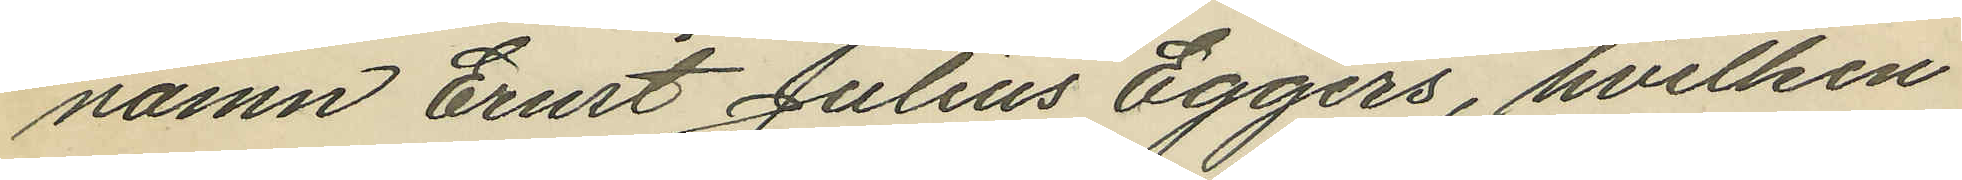namn Ernst Julius Eggers, hvilken
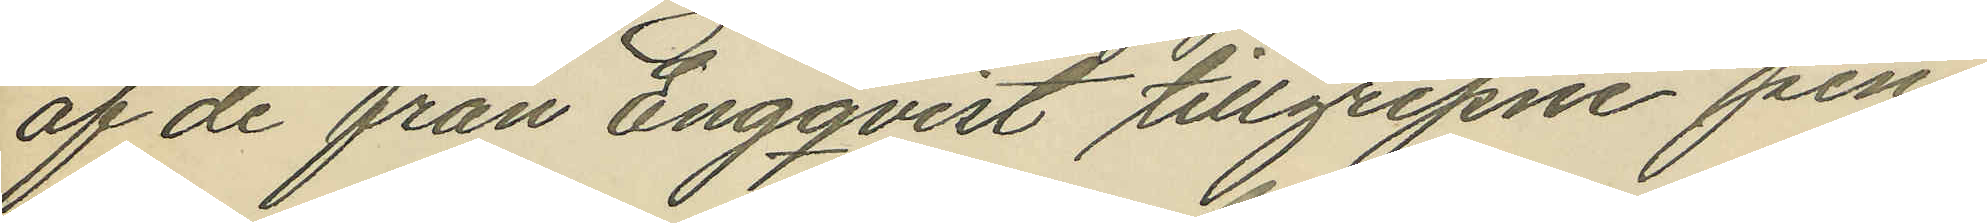af de från Engqvist tillgripne pen¬
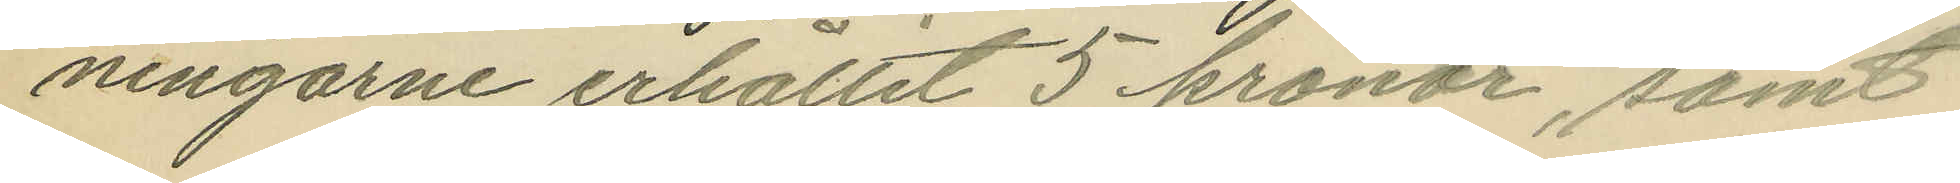ningarne erhållit 5 kronor, samt
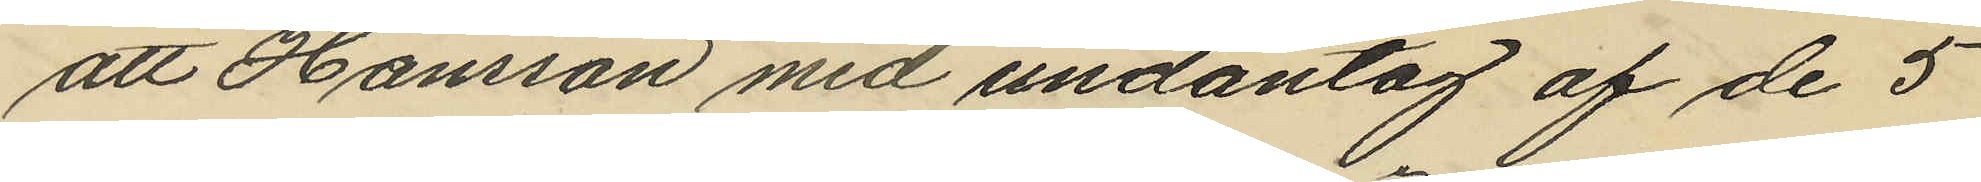att Hansson med undantag af de 5
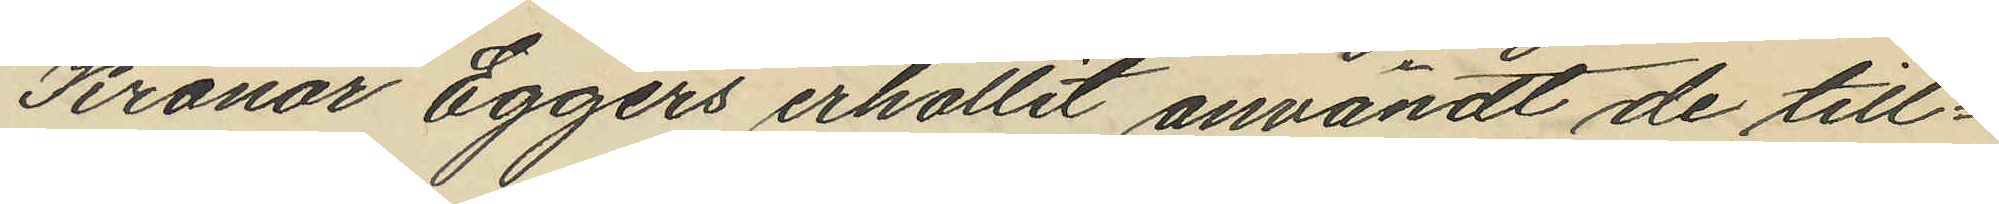Kronor Eggers erhållit användt de till¬
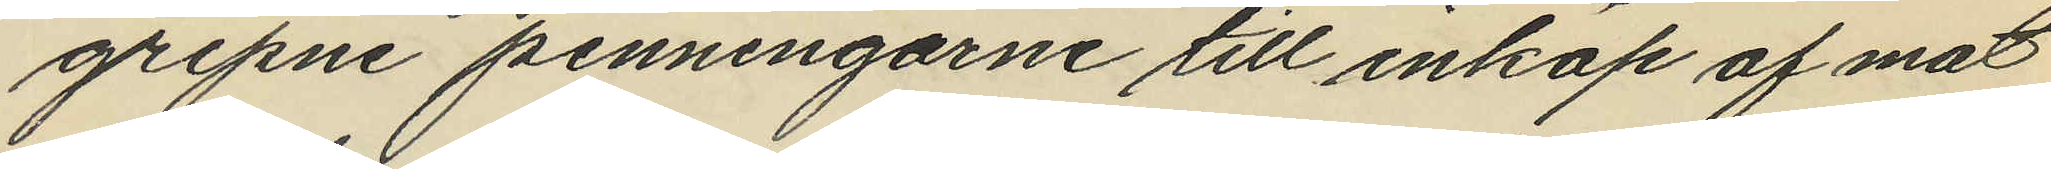gripne penningarne till inköp af mat
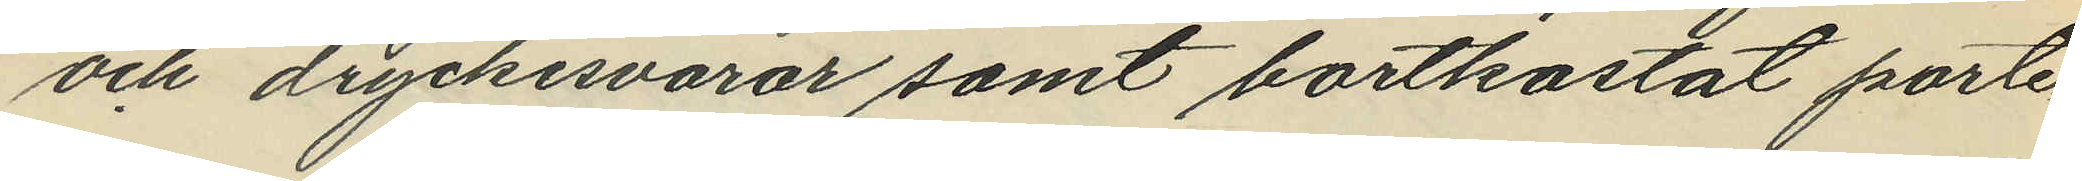och dryckesvaror samt bortkastat porte¬
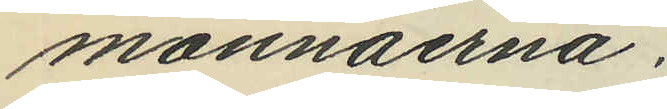monnäerna.
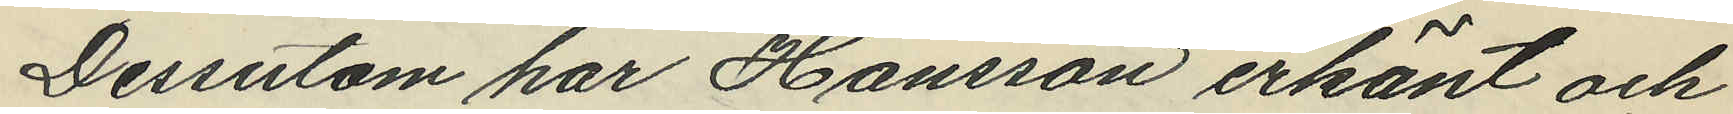Dessutom har Hansson erkänt och
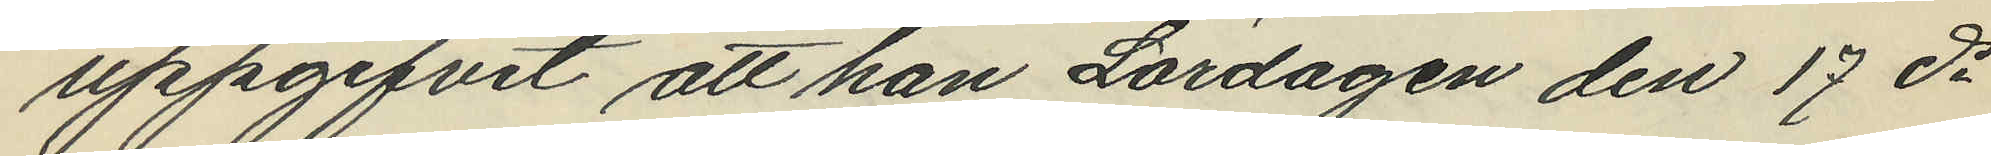uppgifvit att han Lördagen den 17 ds
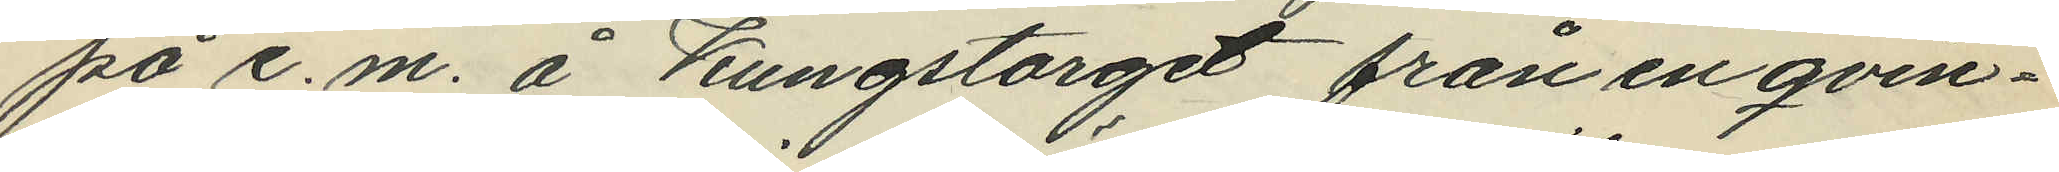på e.m. å Kungstorget från en qvin¬
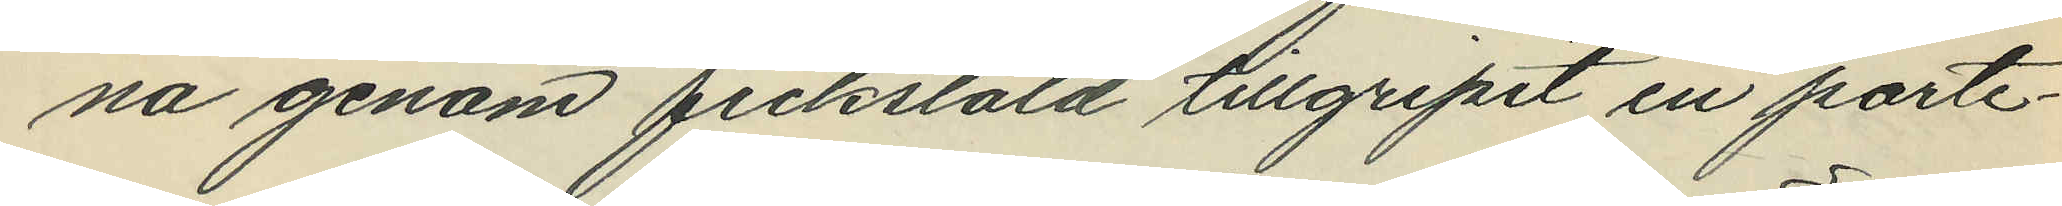na genom fickstöld tillgripit en porte¬
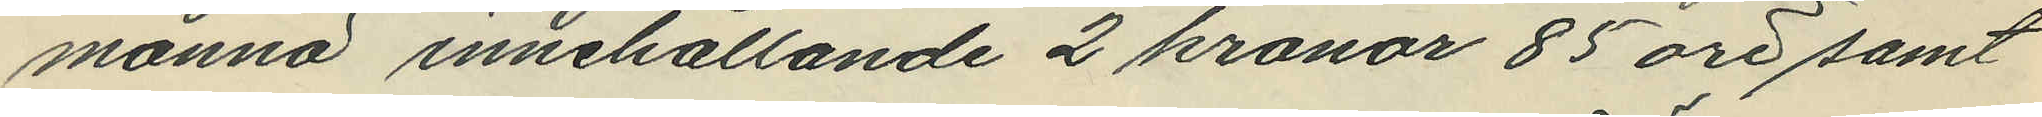monnä innehållande 2 kronor 85 öre samt
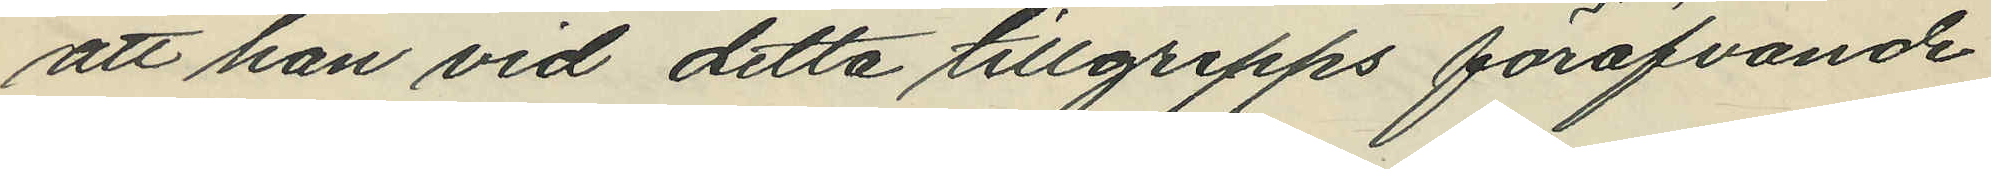att han vid detta tillgrepps föröfvande
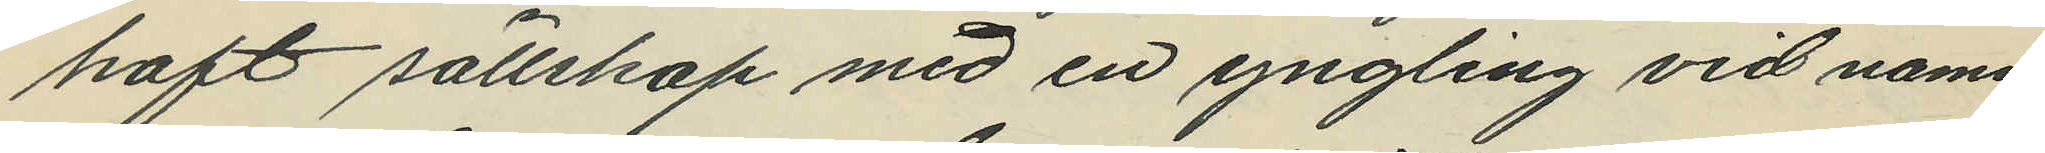haft sällskap med en yngling vid namn
